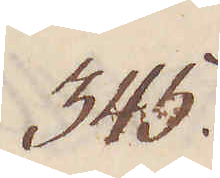345.
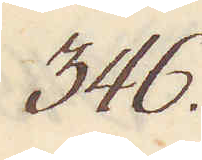346.
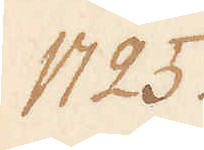1725.
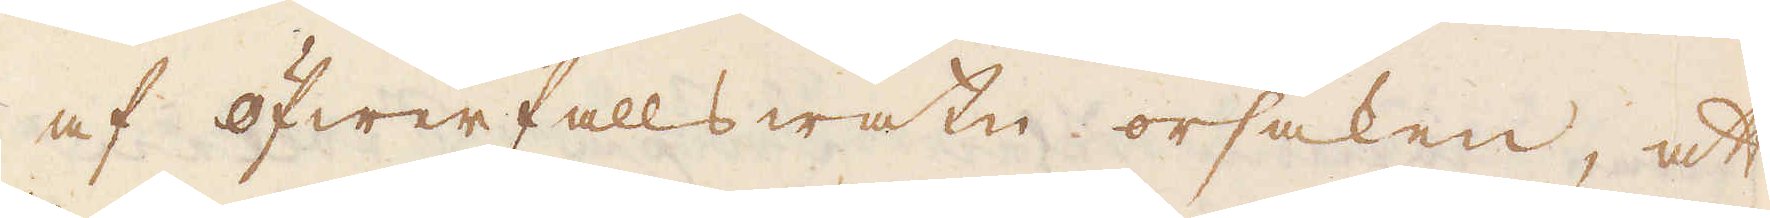af öfwerfalls watn orsaken, att
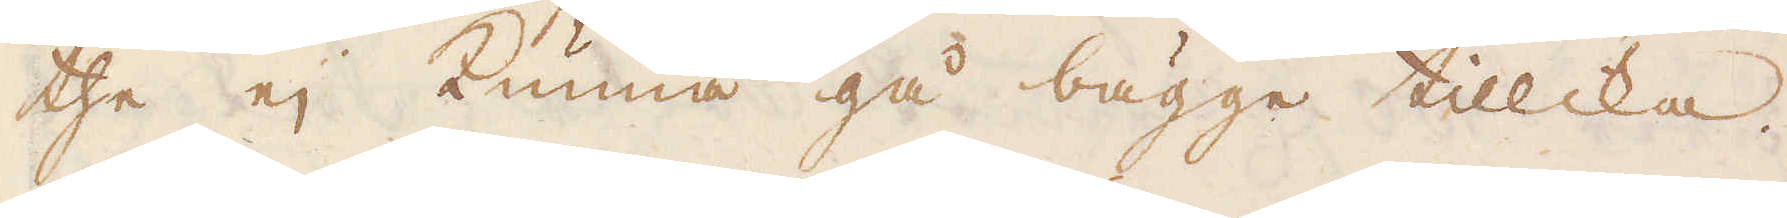the ej kunna gå bägge tillika.
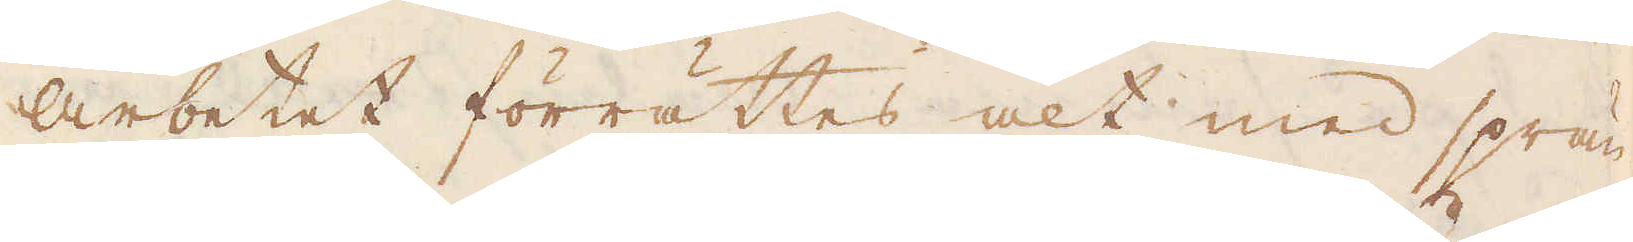Arbetet förrättes alt med sprän-
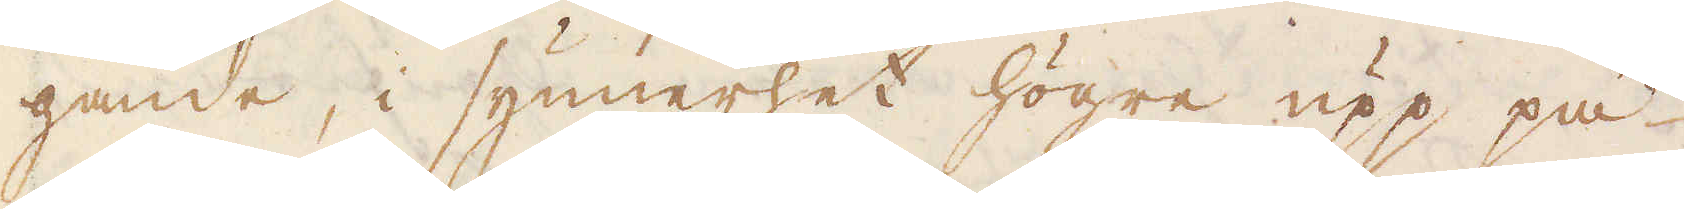gande, i synnerhet högre upp på
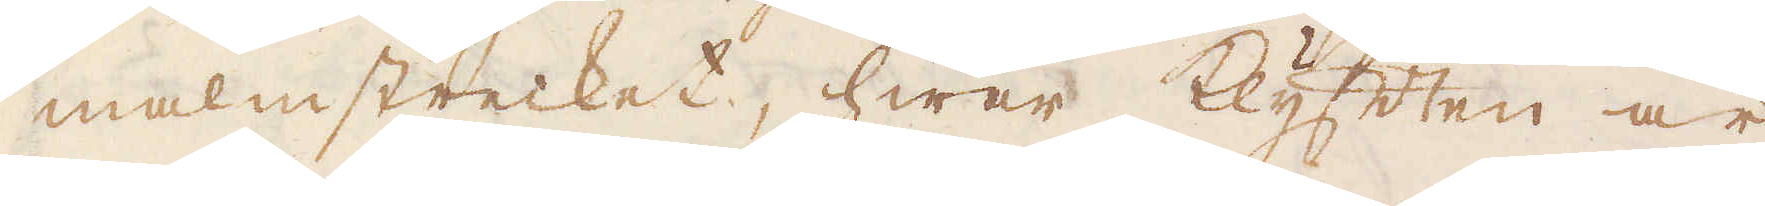malmstrecket, hwar klyften är
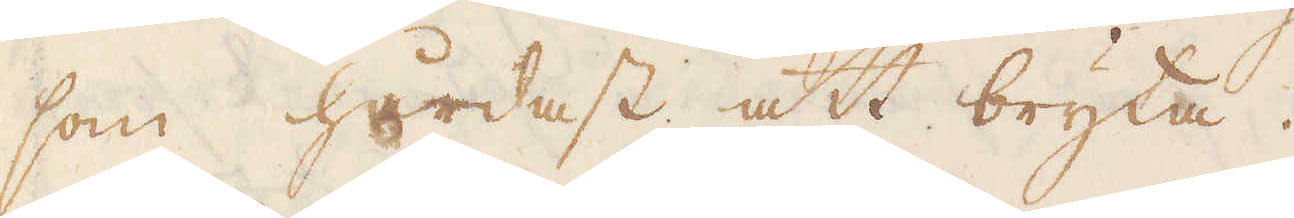som hårdast att bryta.
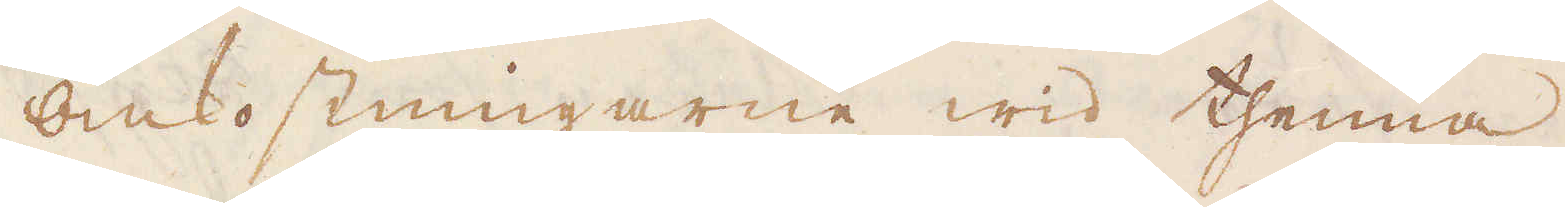Omkostningarne wid thenna
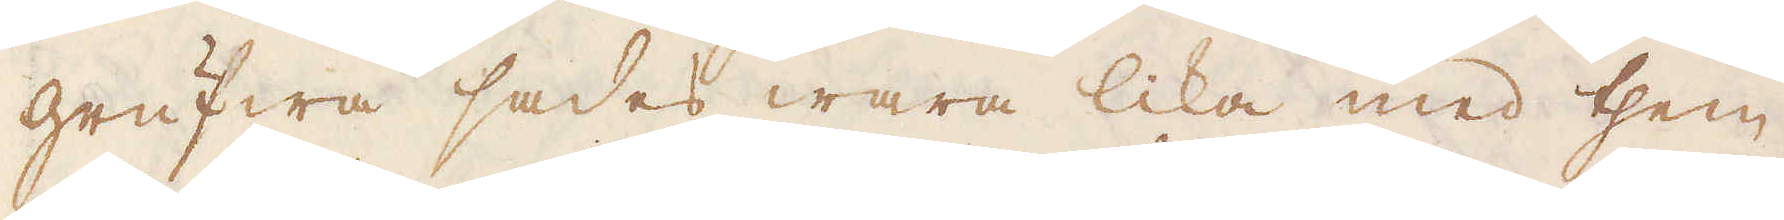grufwa sades wara lika med them
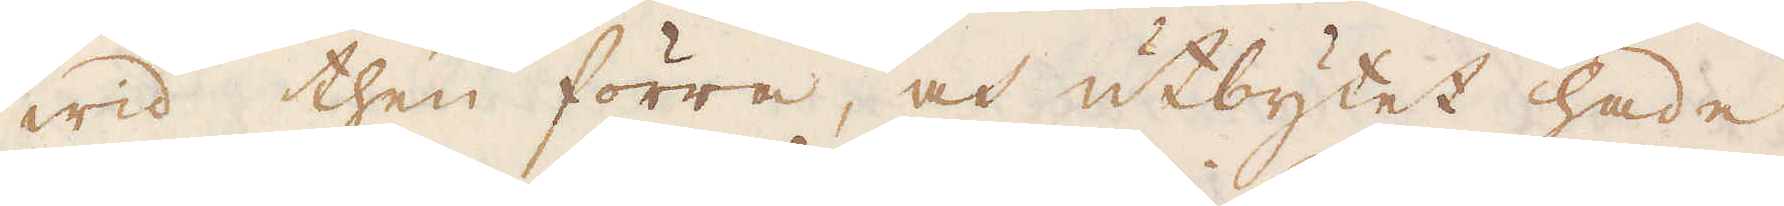wid then förra, och utbytet hade
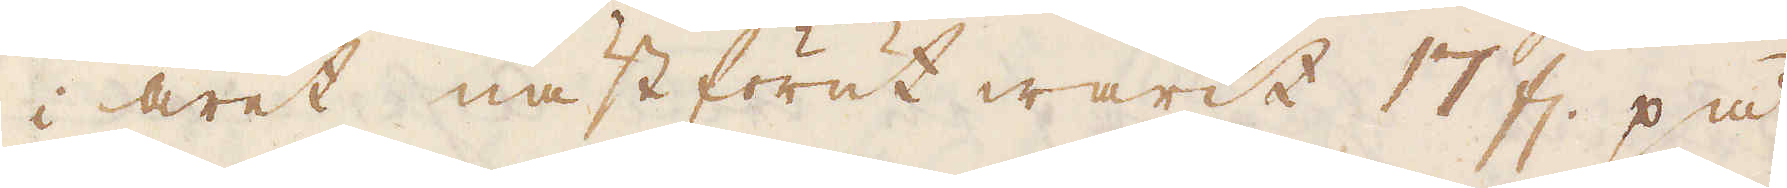i året nästförut warit 17 fl. på
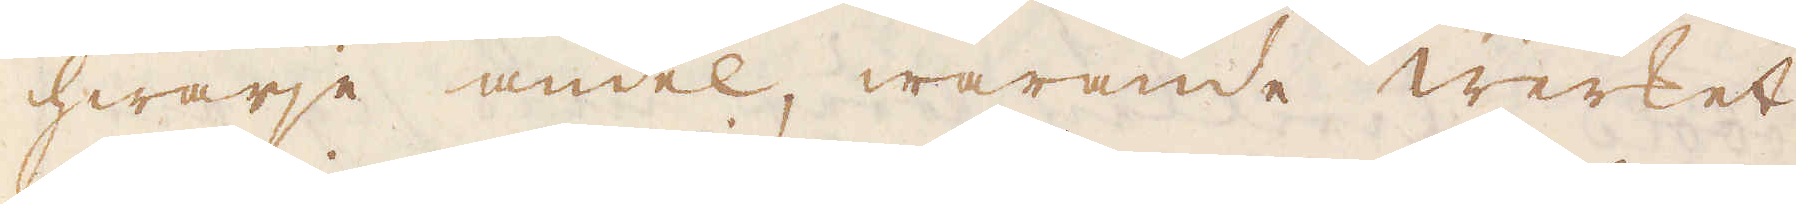hwarje andel, warande werket
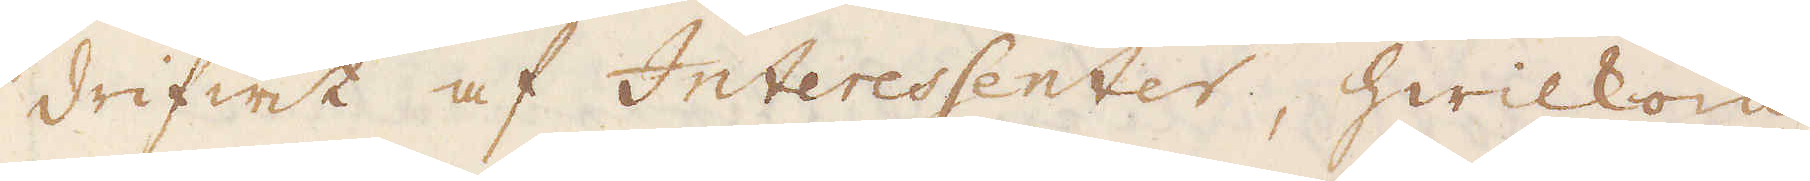drifwit af Interessenter, hwilkom
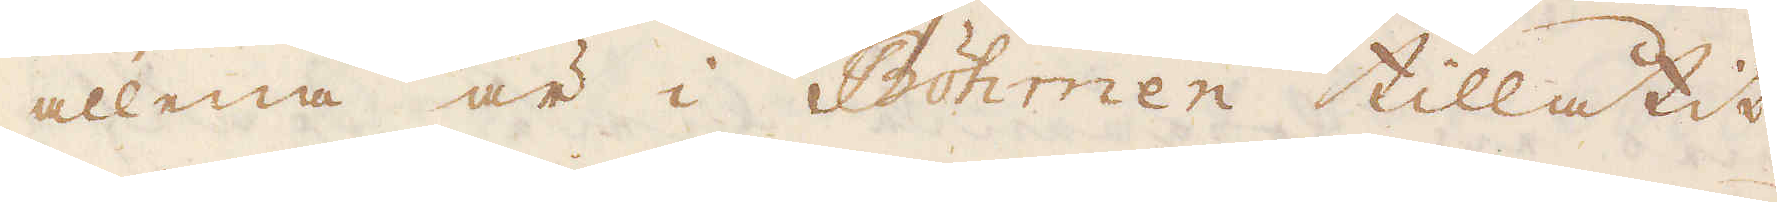allena är i Böhmen tillåtit
